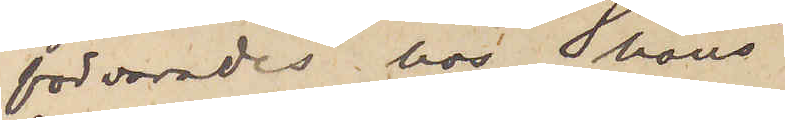förvarades hos hans
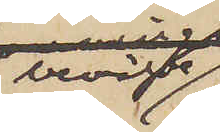berörde
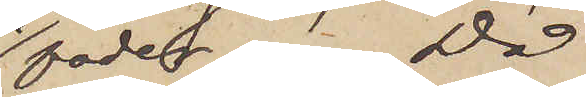fader. Då
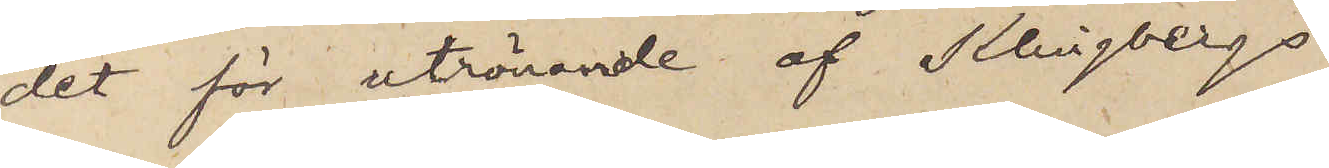det för utrönande af Klingbergs
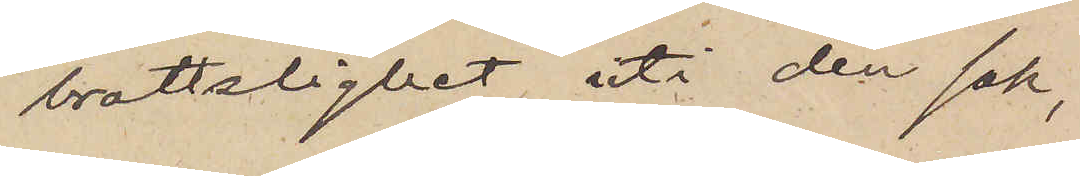brottslighet uti den sak,
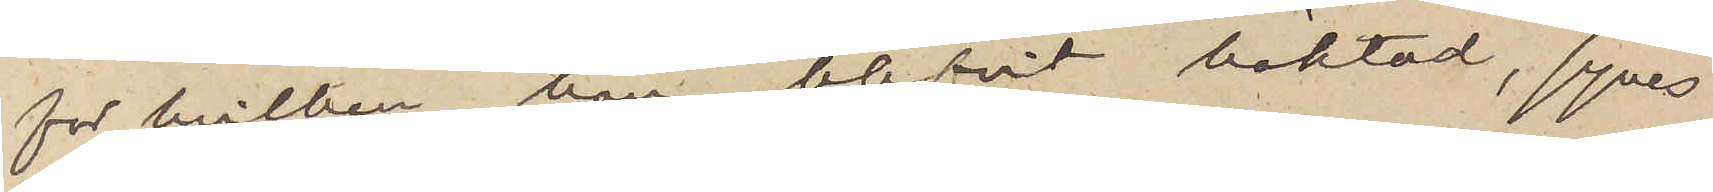för hvilken han blifvit häktad, synes
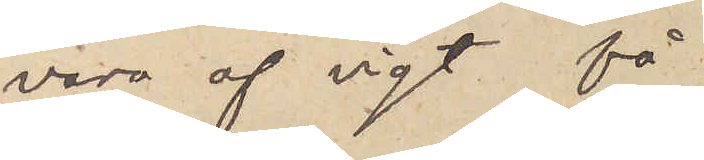vara af vigt få
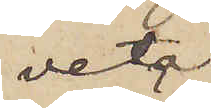veta,
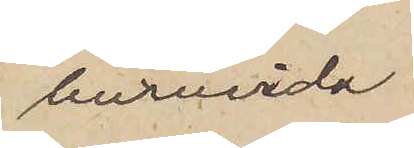huruvida
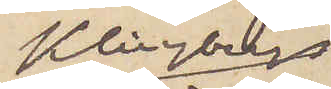Klingbergs
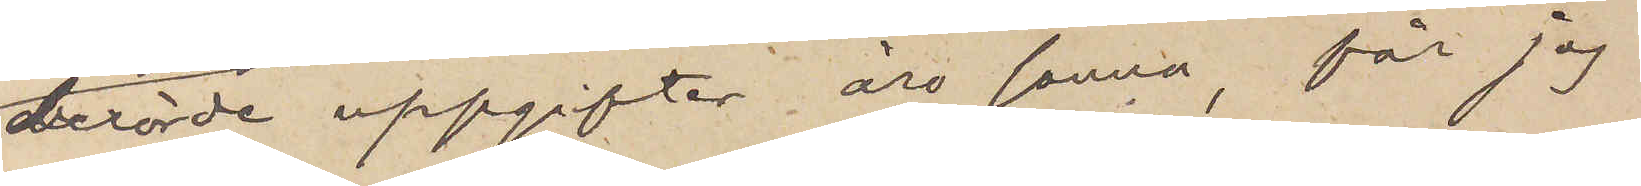berörde uppgifter äro sanna, får jag
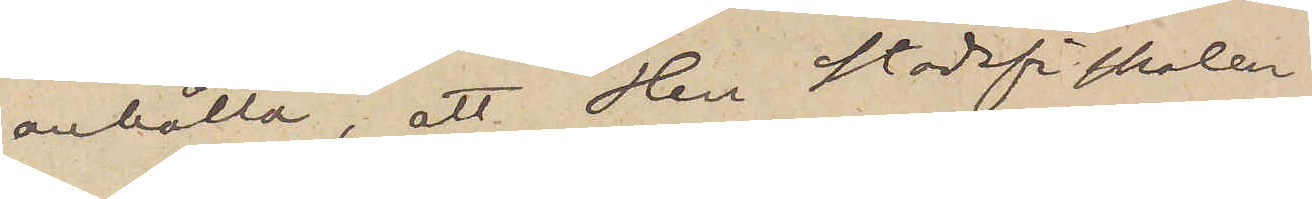anhålla, att Herr Stadsfiskalen
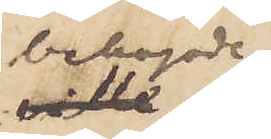behagade
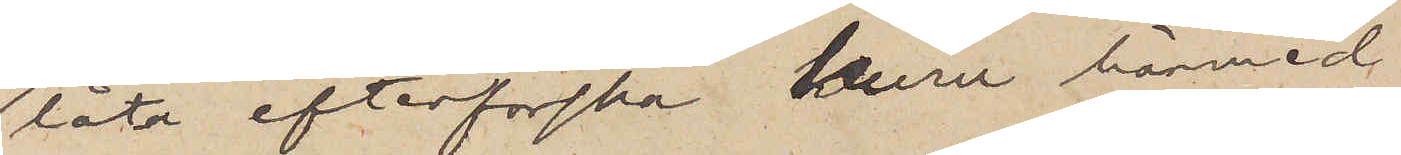låta efterforska huru härmed
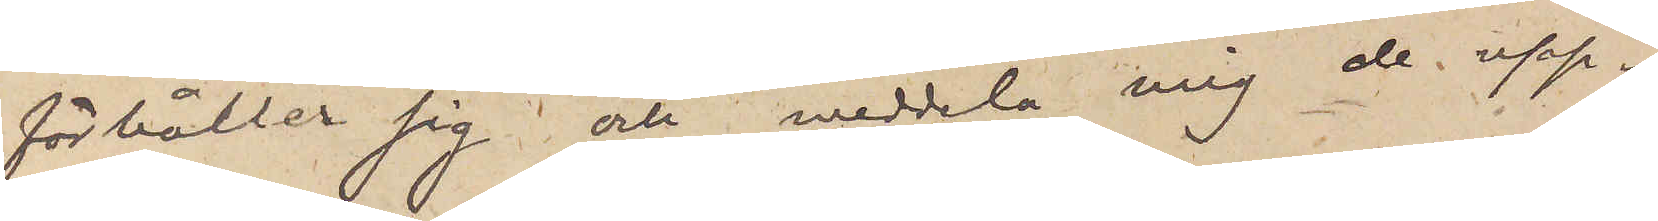förhåller sig och meddela mig de upp¬
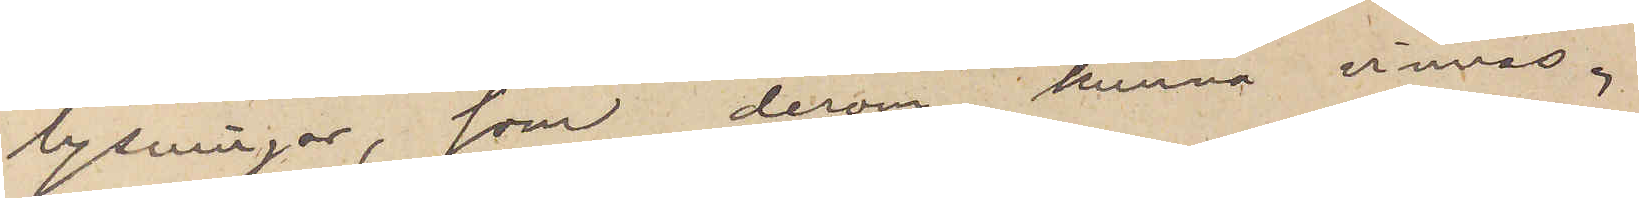lysningar, som derom kunna vinnas.
